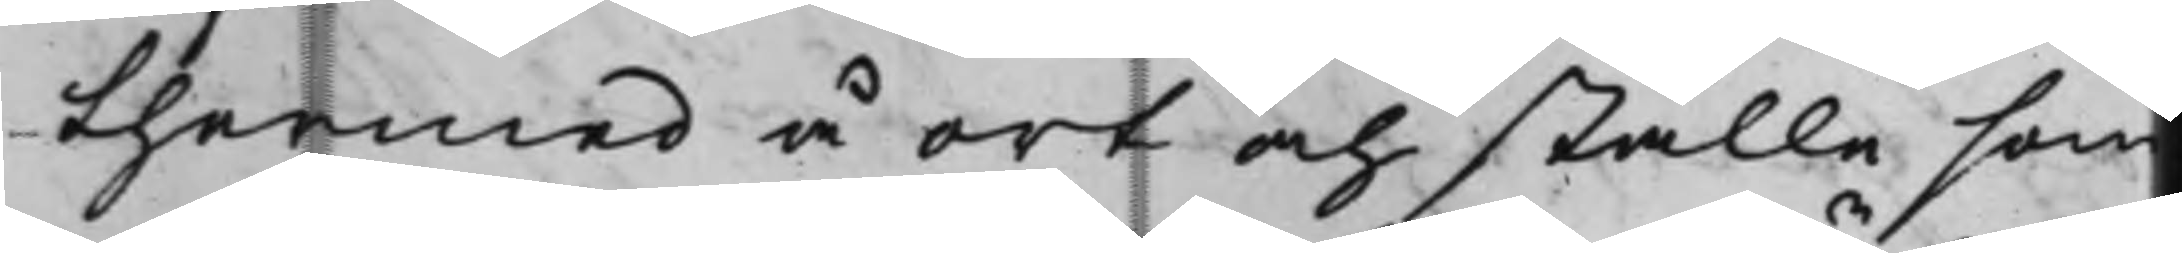thermed å ort och ställa som
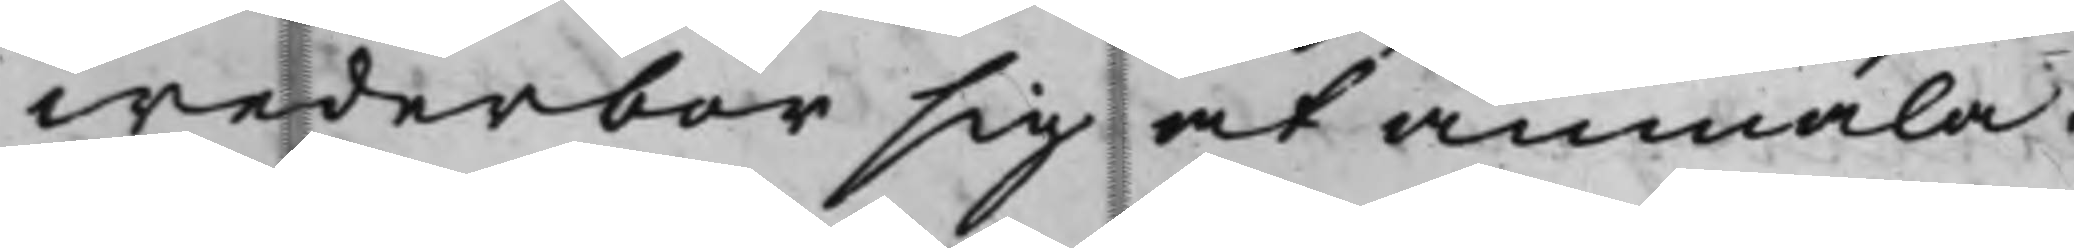wederbör sig at anmäla.
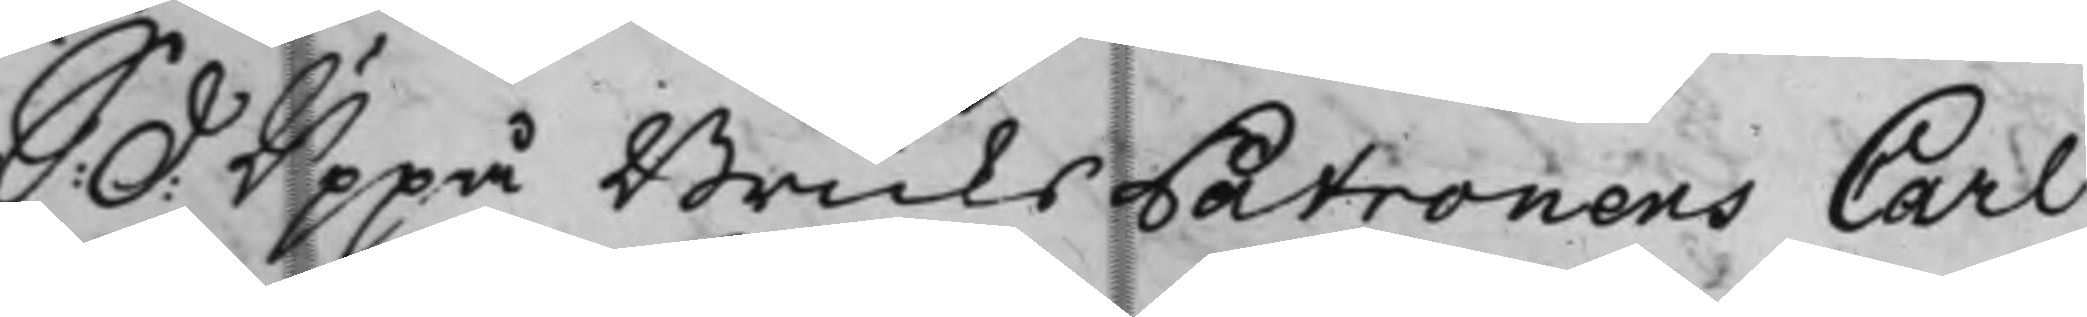S: d: Uppå BruksPatronens Carl
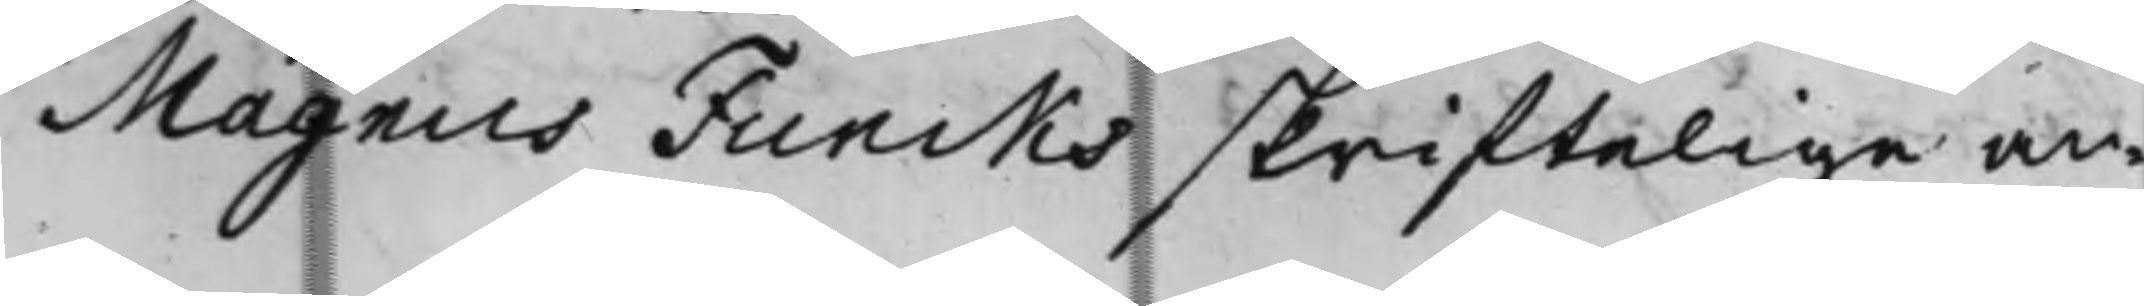Magnus Funcks skriftelige an¬
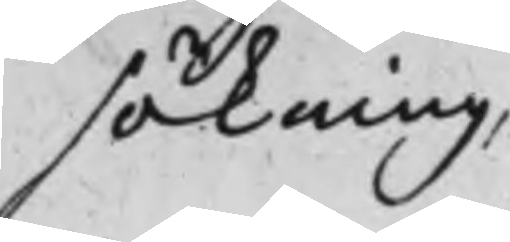sökning,
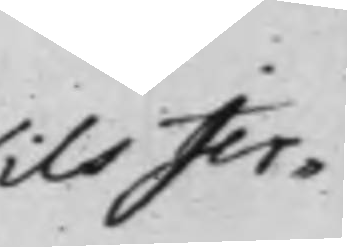Nils Jer¬ 
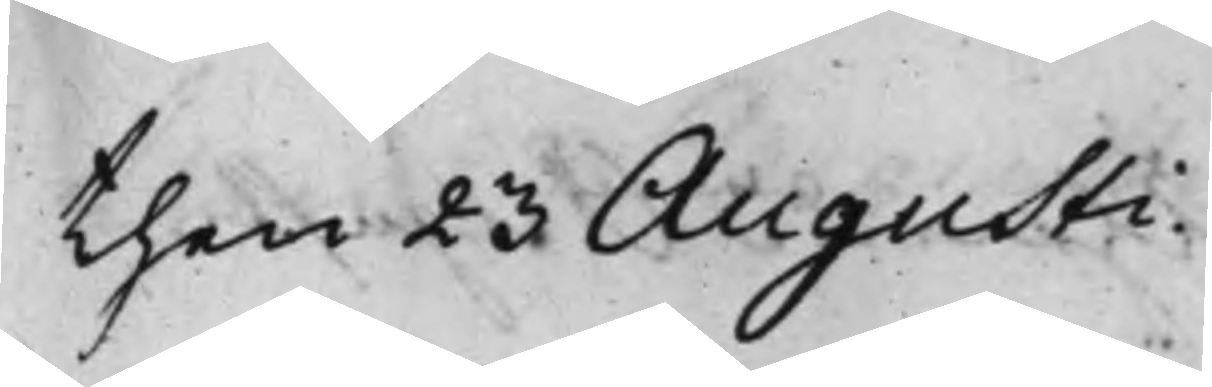then 23 Augusti.
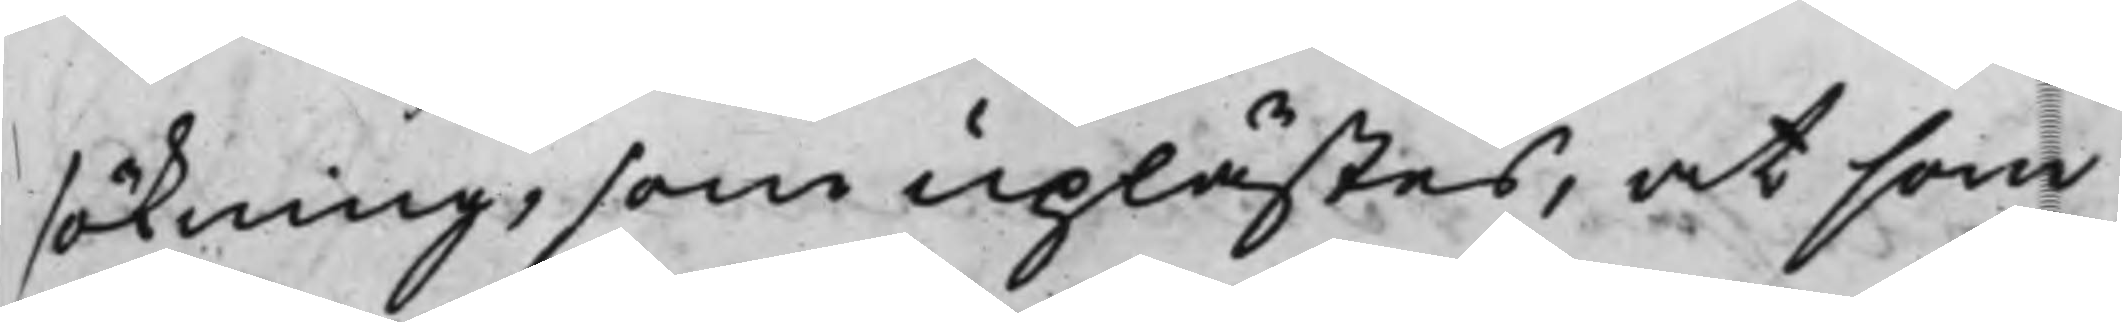sökning, som uplästes, at som
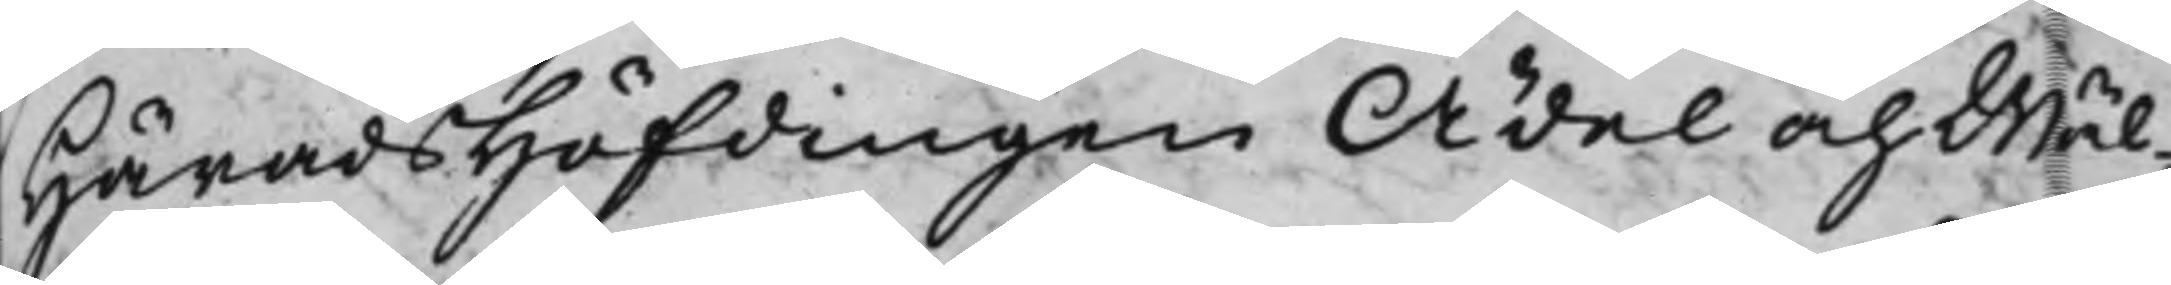HäradsHöfdingen Ädel och Wäl¬
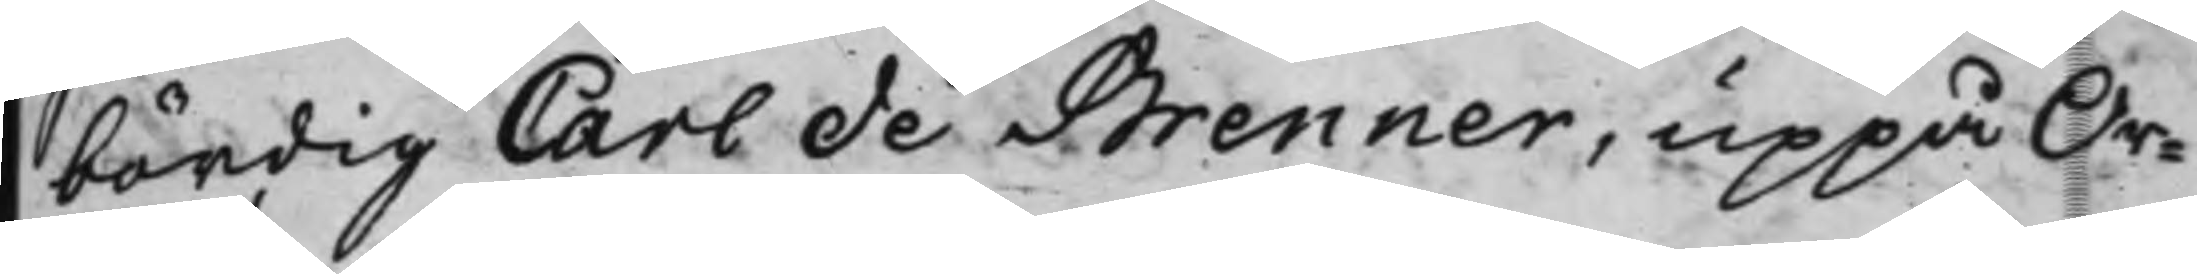bördig Carl de Brenner, uppå Or¬
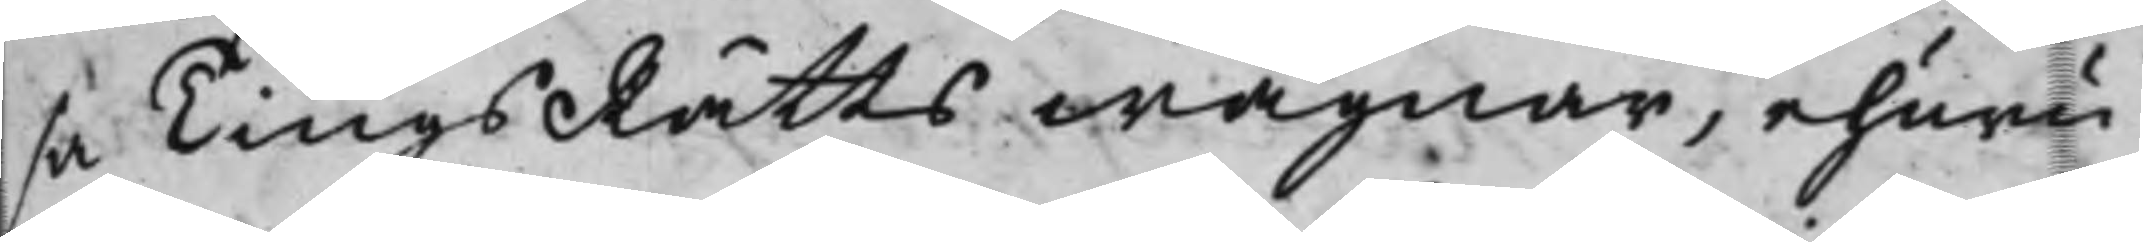sa TingsRätts wägnar, ehuru
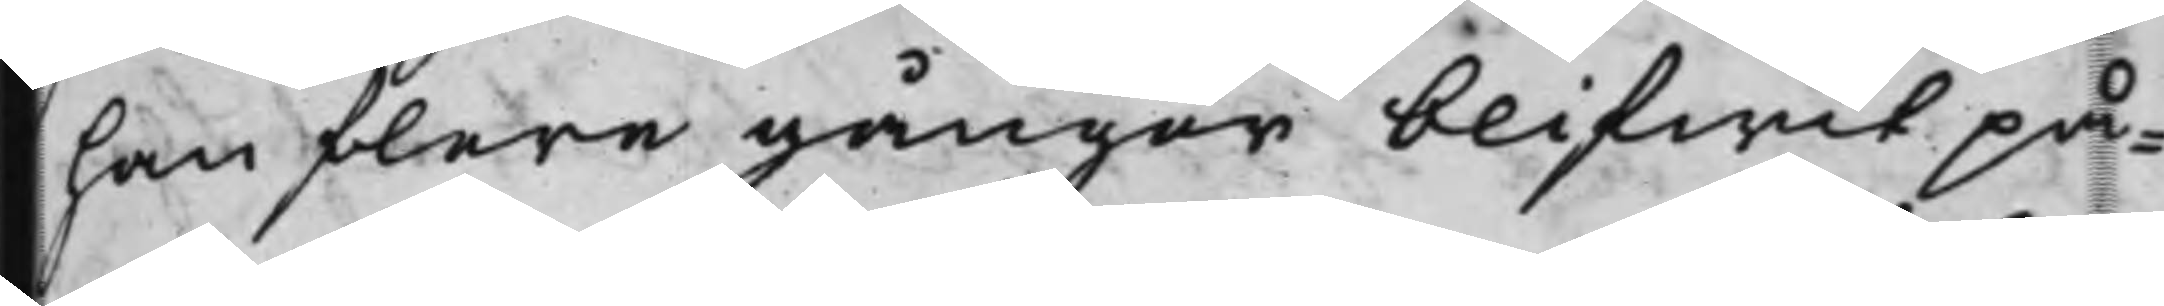han flere gånger blifwit på¬
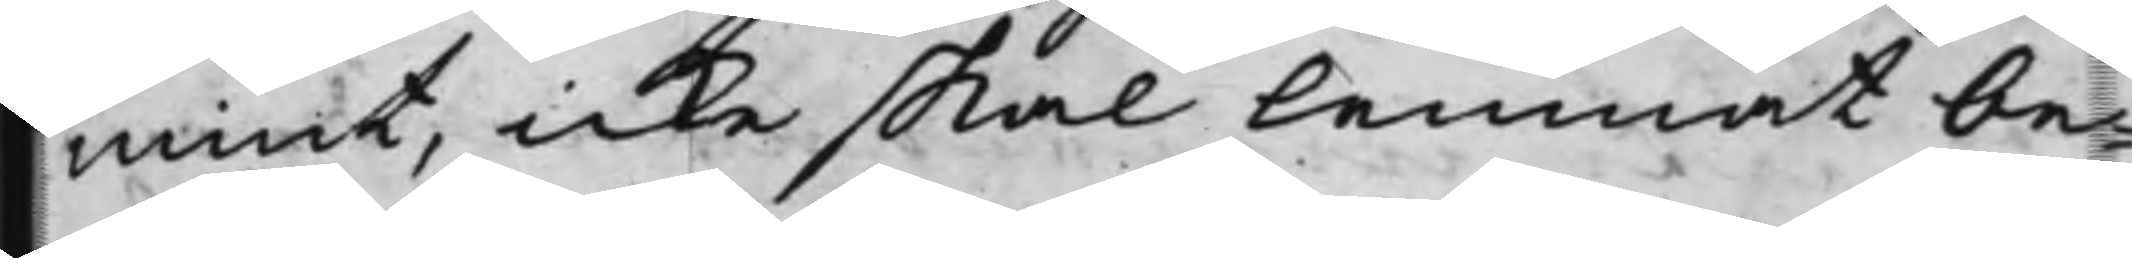mint, icke skal lemnat be¬
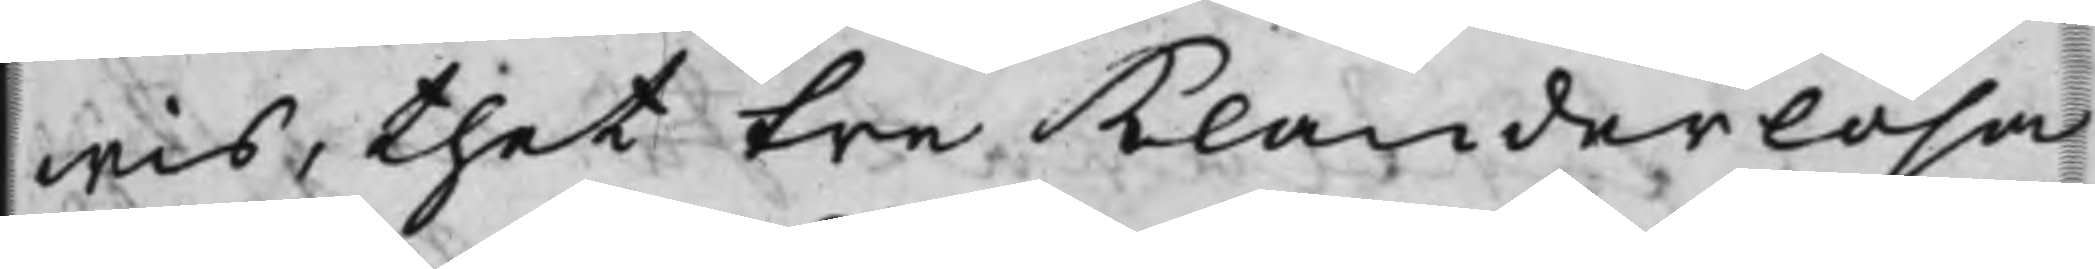wis, thet tre klanderlösa
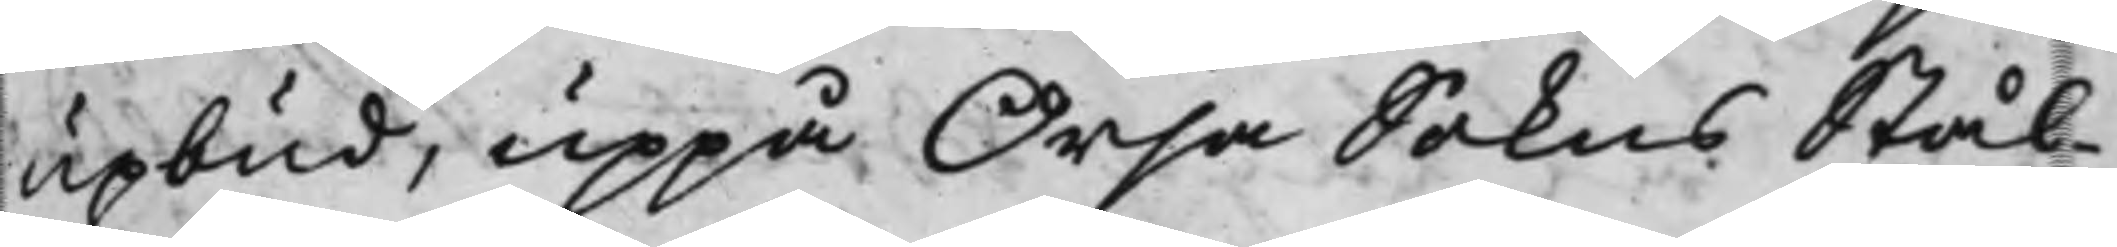upbud, uppå Örsa Sokns Stål-
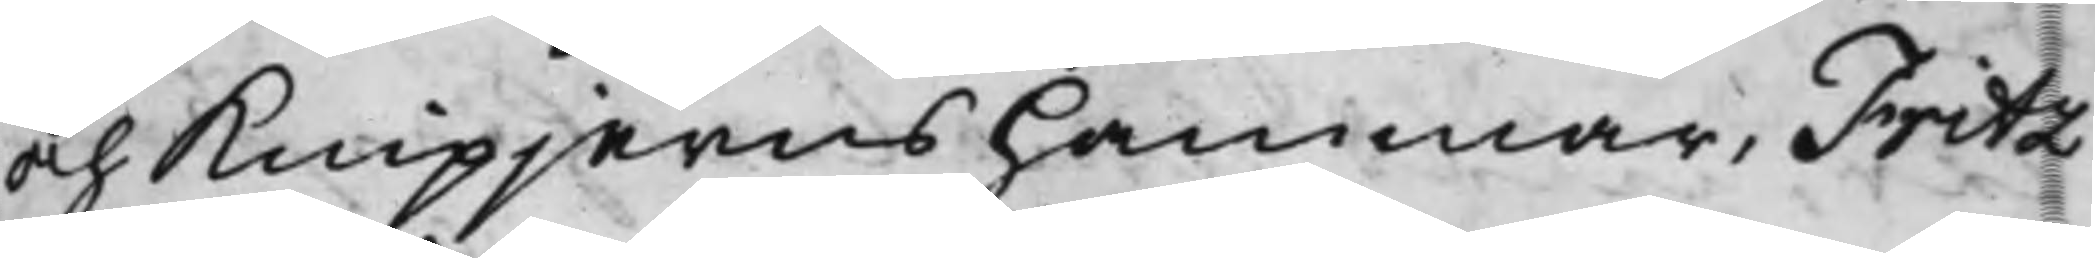och Knipjernshammar, Fritz
